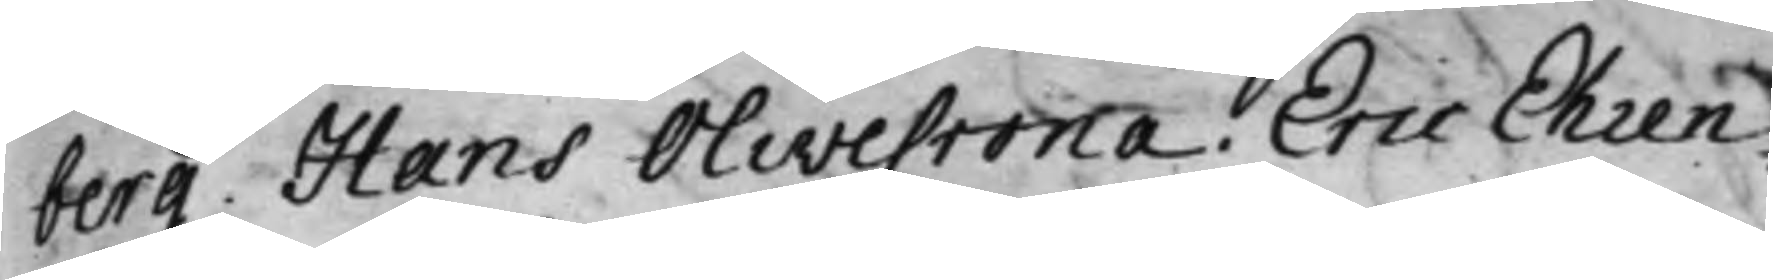berg. Hans Olivecrona. Eric Ehren¬
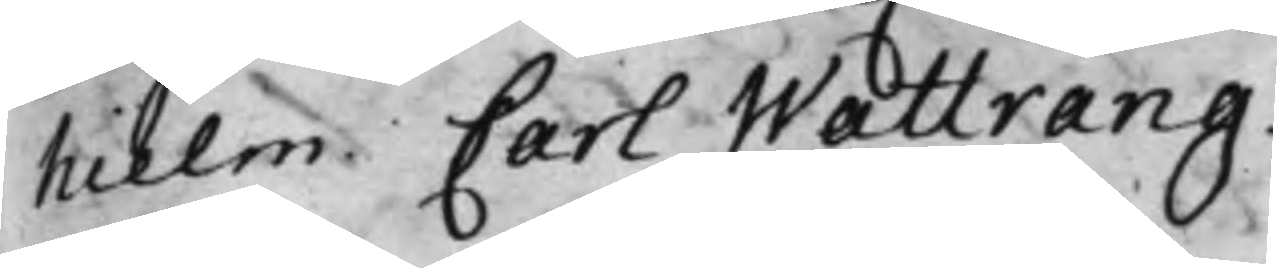hielm. Carl Wattrang.
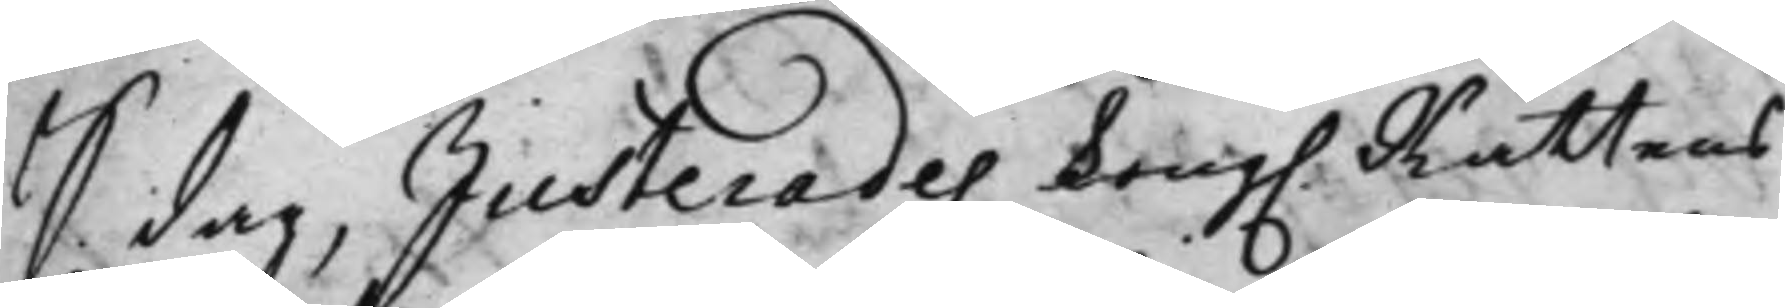S. dag Justerades Kong. Rättens 
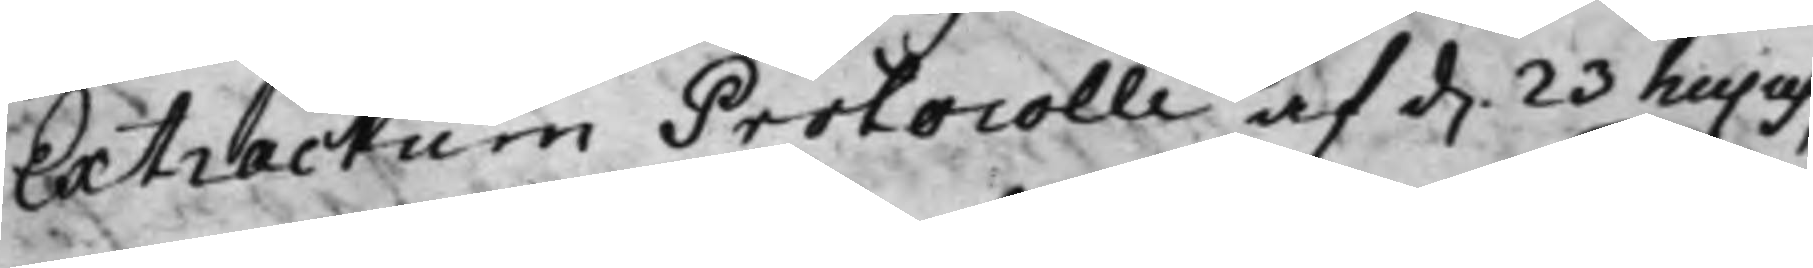Extractum Protocolli af d. 23 hujus, 
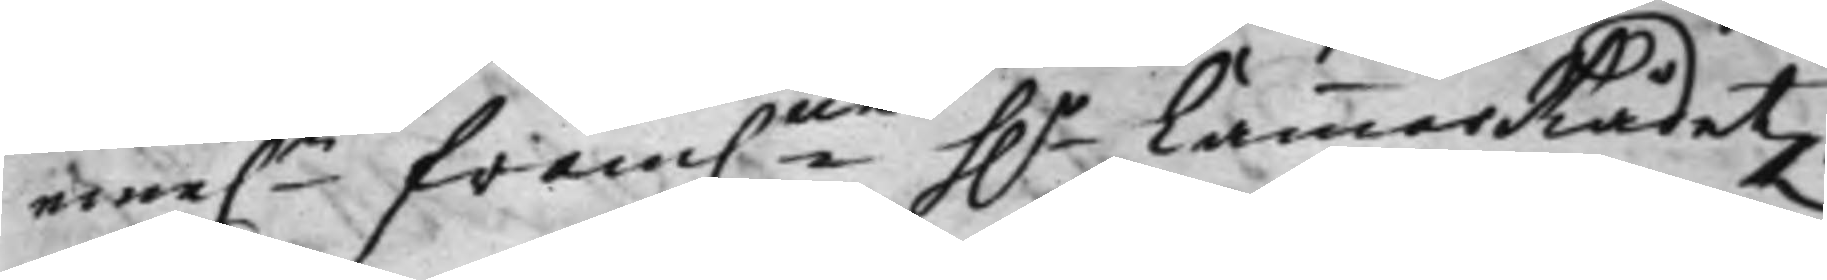eme.n fram.ne h.r CammarRådetz, 
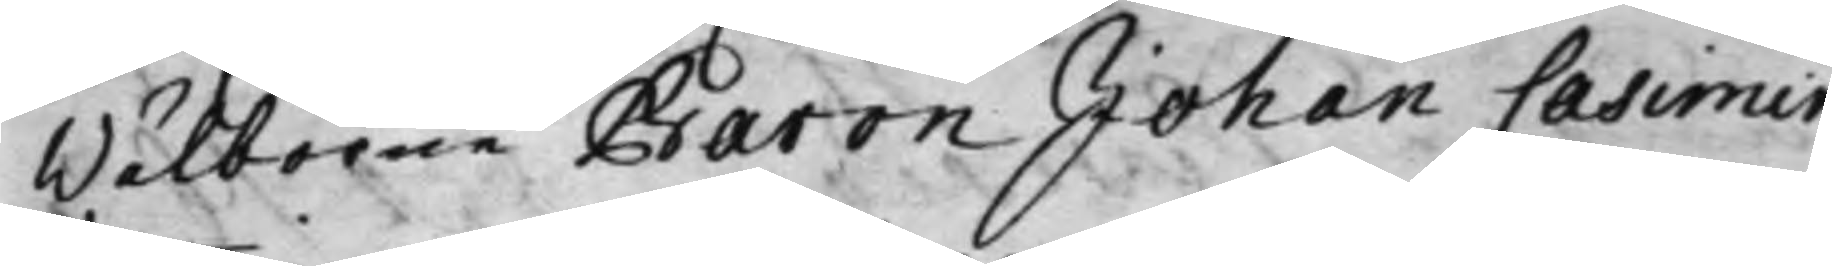Wälborne Baron Johan Casimir
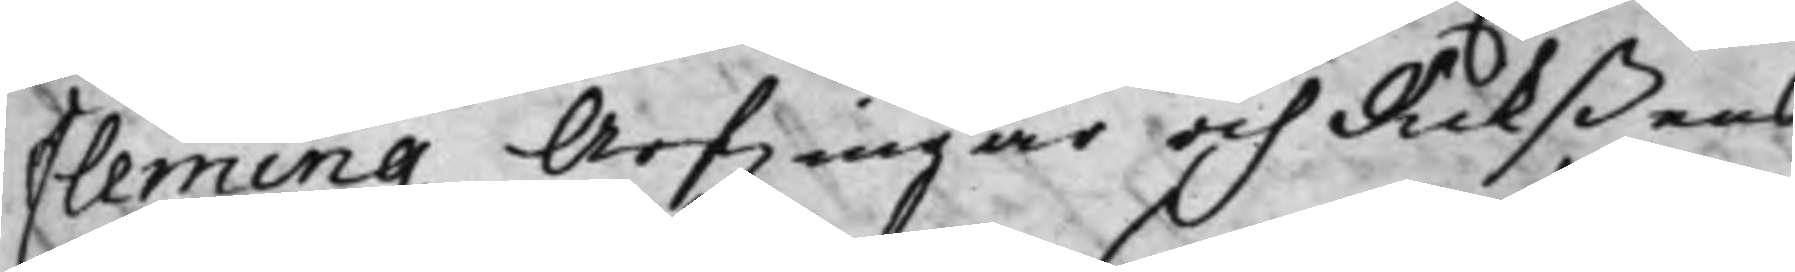Flemming Arfwingar och Rikßens
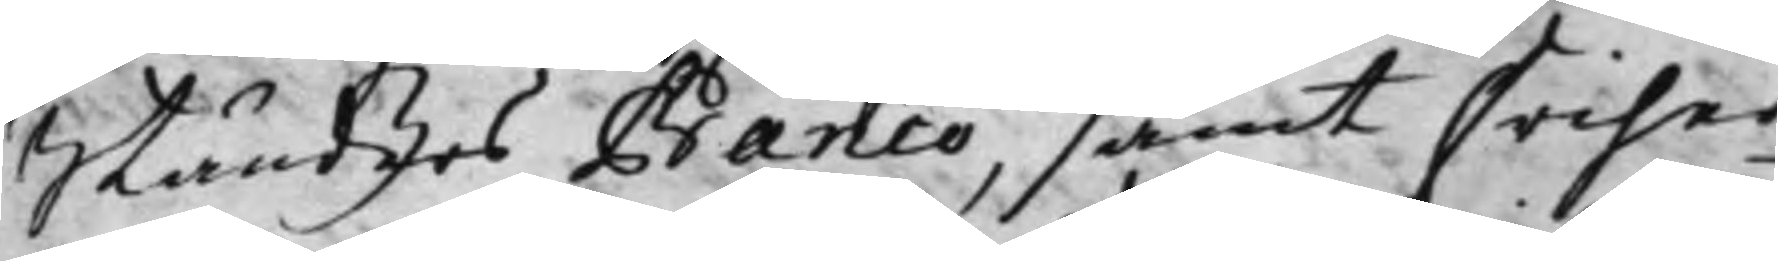Ständers Banco, samt Friher¬
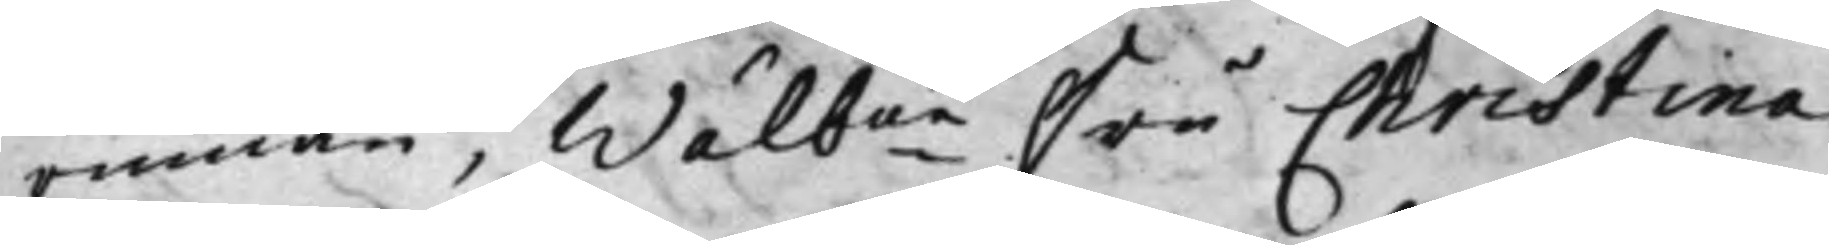rinnan, Wälbne Fru Christina 
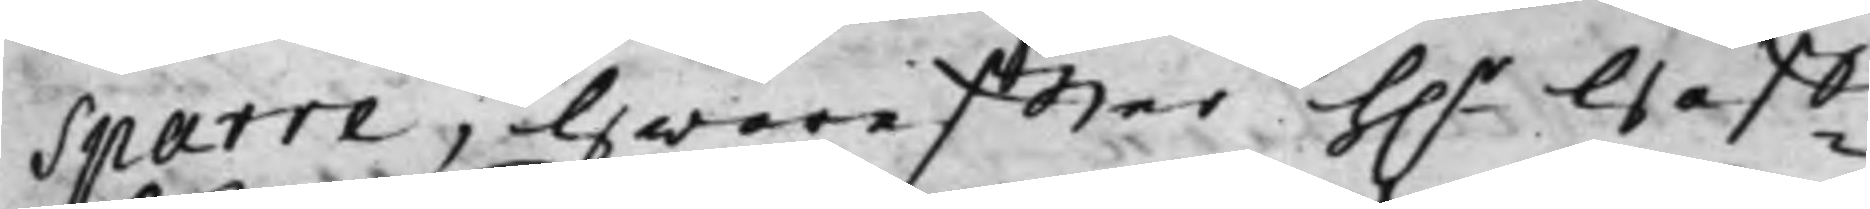Sparre, Hwareffter h.r Håff¬ 
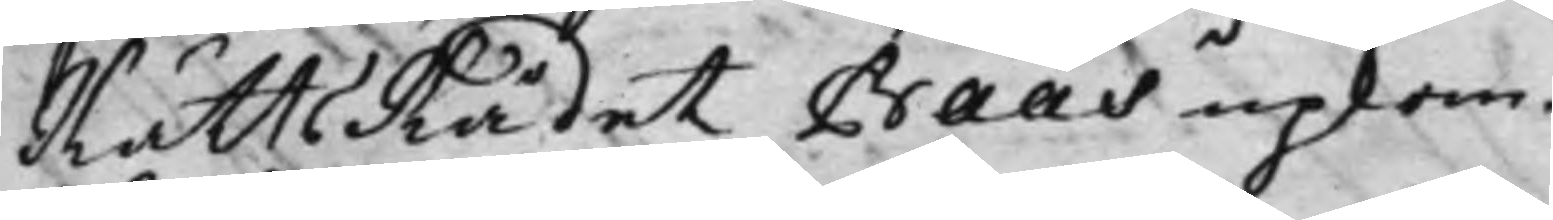RättsRådet Baas upkom.
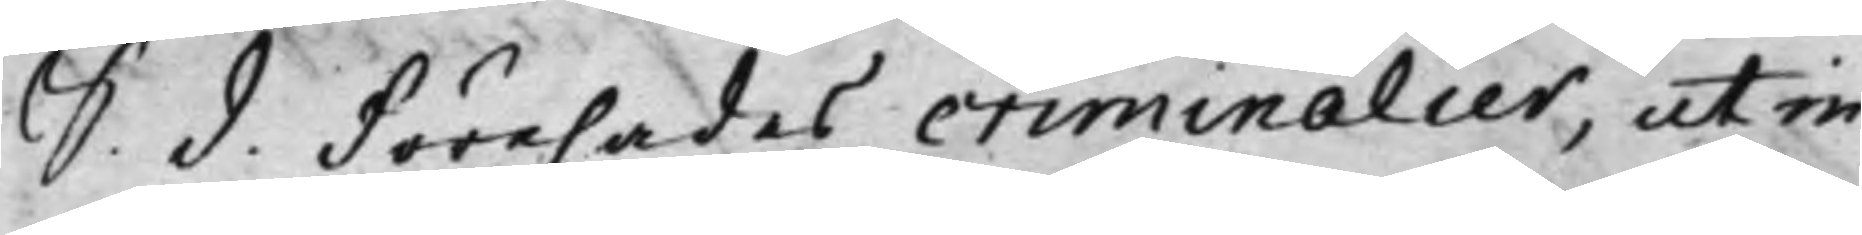S. d. Förehades criminalier, ut in
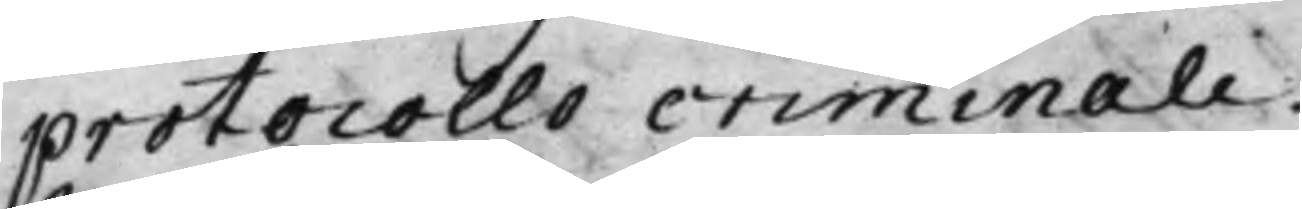protocollo criminale.
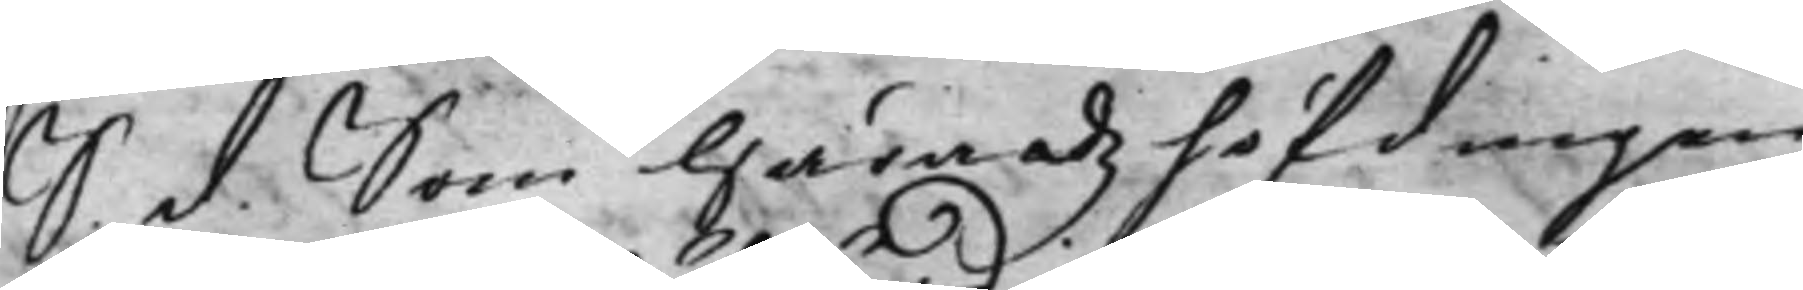S. d. Som Häradzhöfdingen 
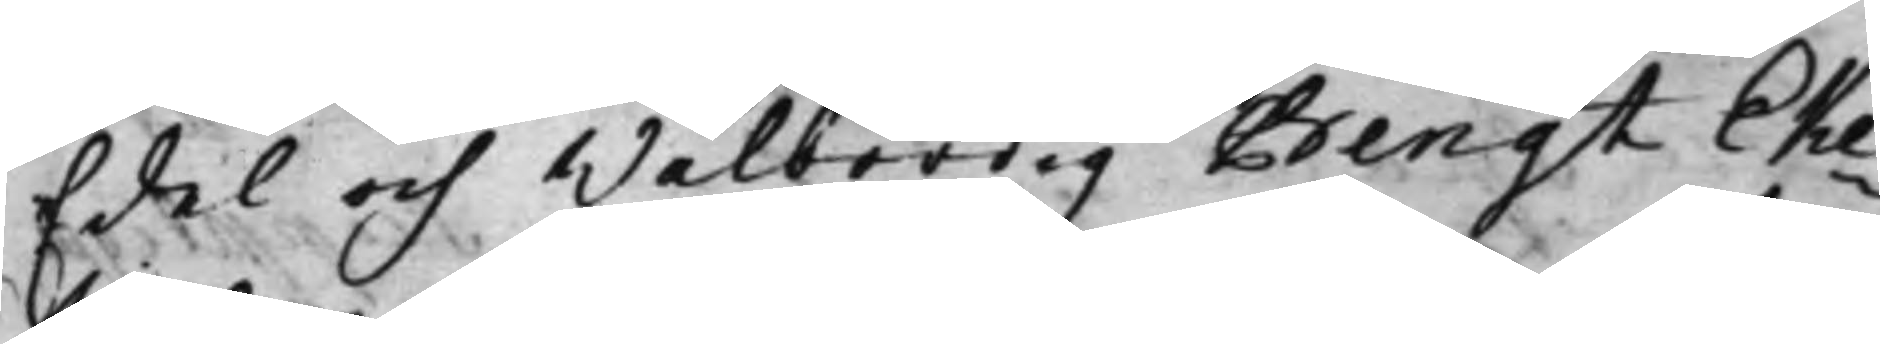Edel och Wälbördig Bengt Eke¬
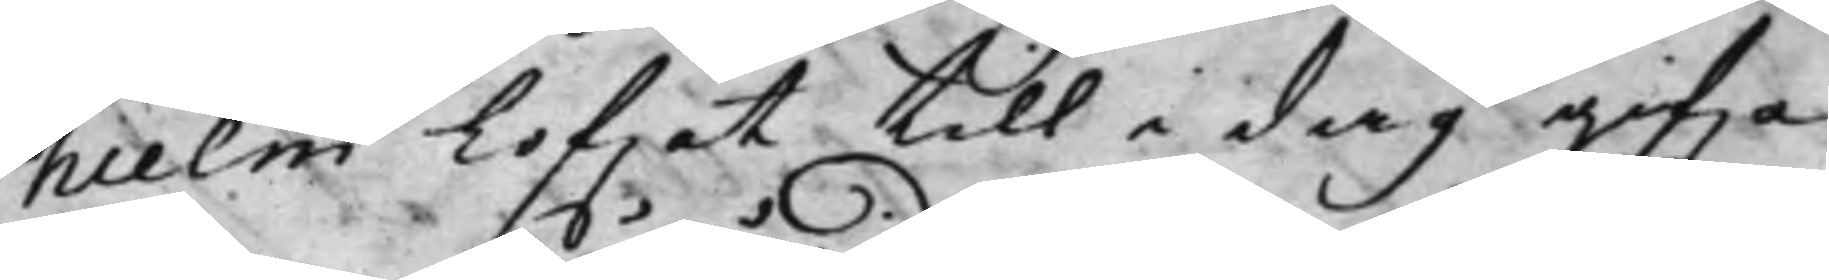hielm lofwat till i dag gifwa
